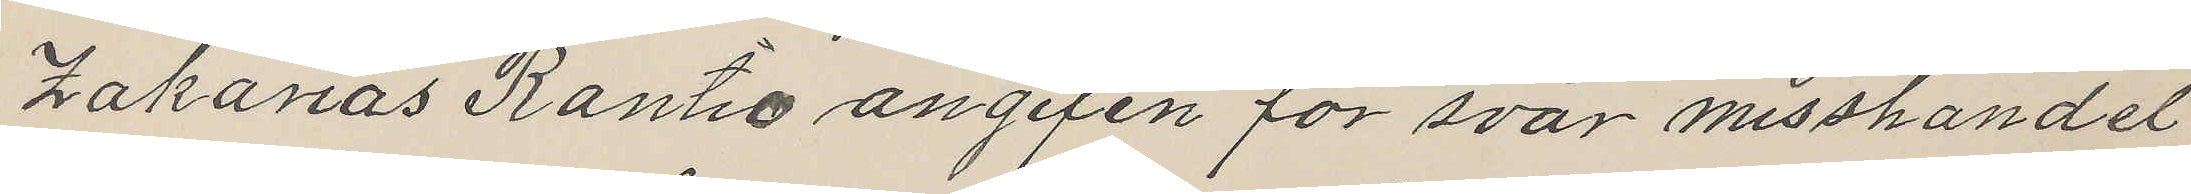Zakarias Rantio angifen för svår misshandel
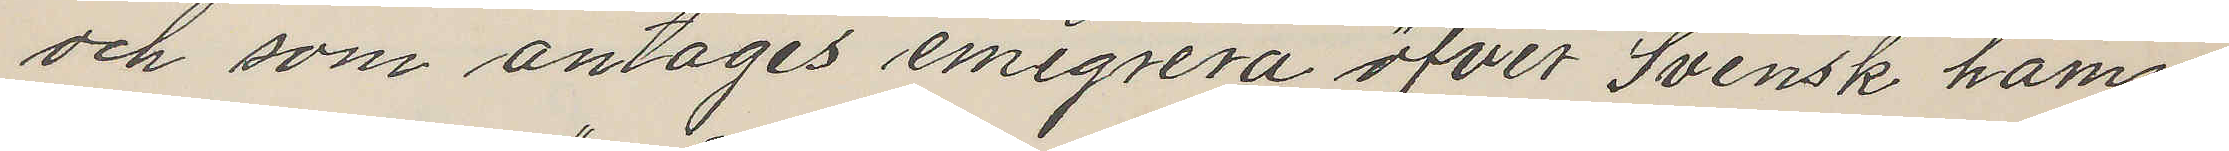och som antages emigrera öfver Svensk hamn
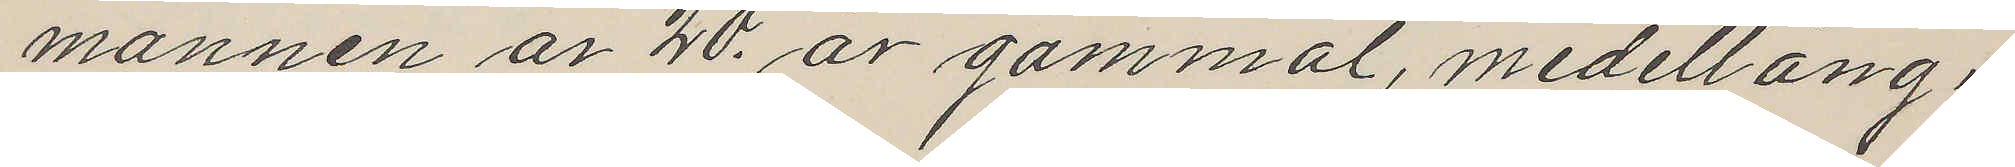mannen är 20. år gammal, medellång
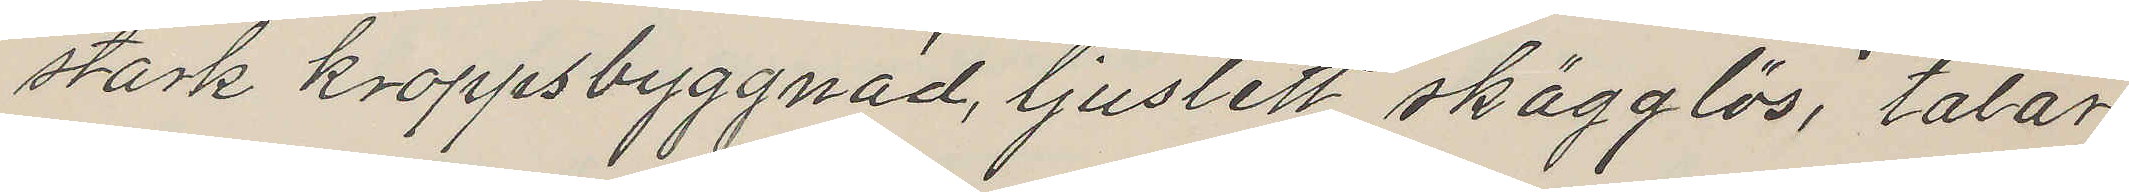stark kroppsbyggnad, ljuslett skägglös, talar
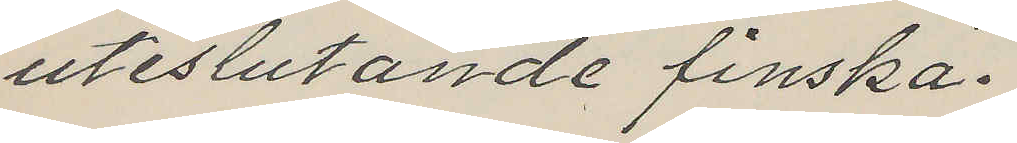uteslutande finska.
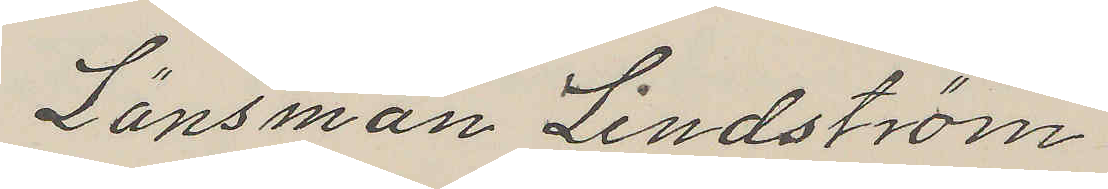Länsman Lindström
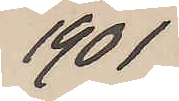1901
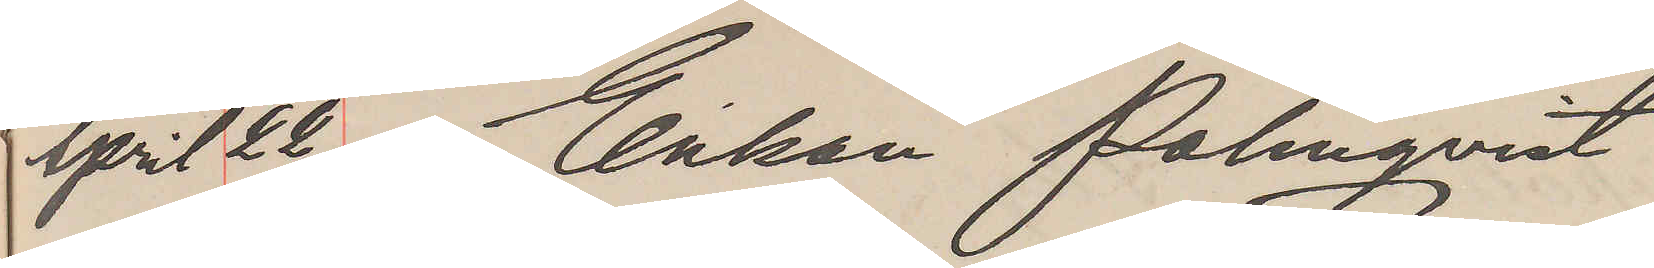April 22. Enkan Palmqvist
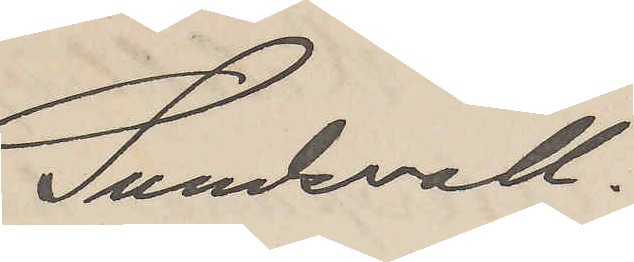Sundsvall.
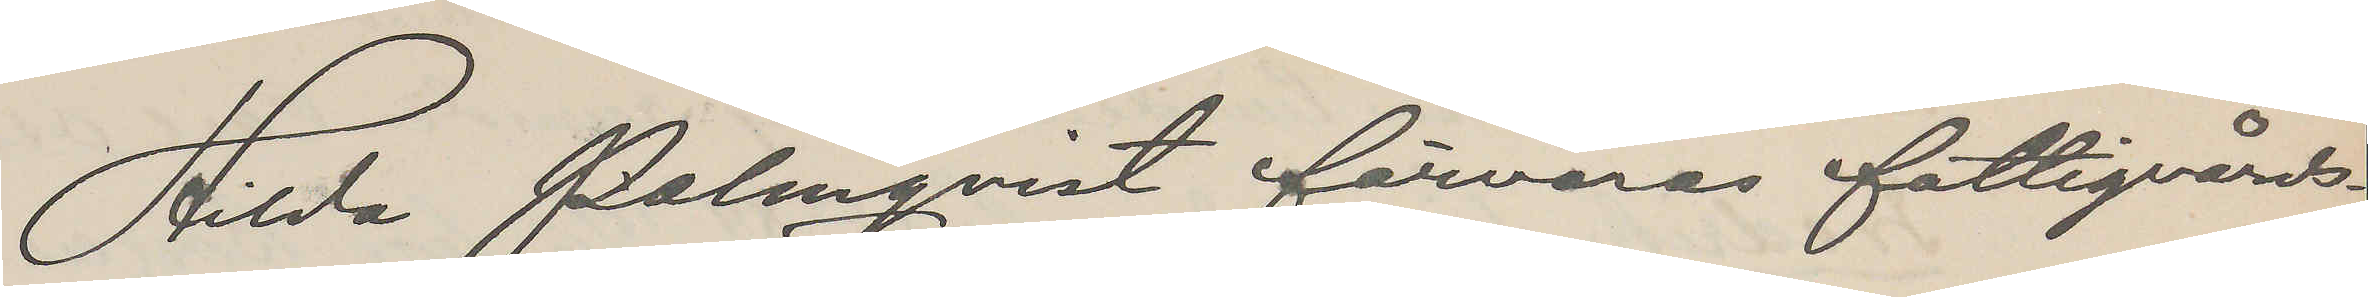Hilda Palmqvist förvaras fatligvårds¬
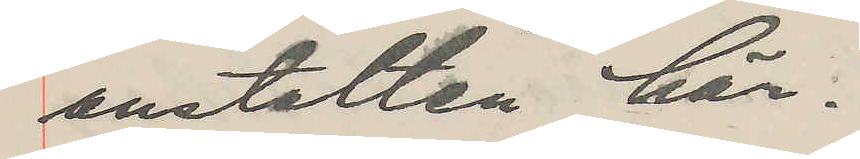anstalten här.
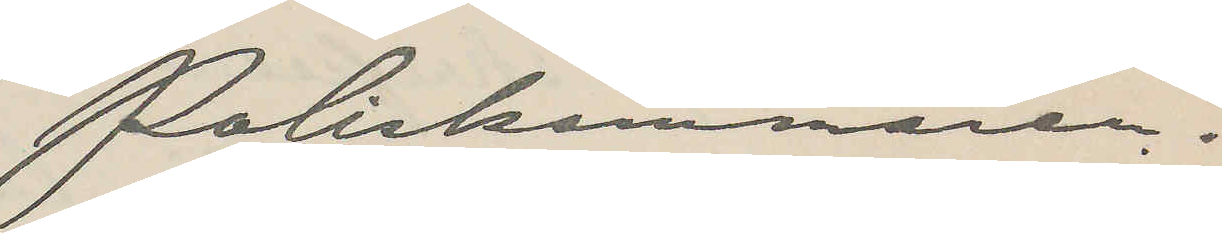Poliskammaren.
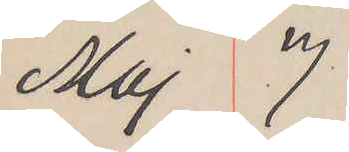Maj 7
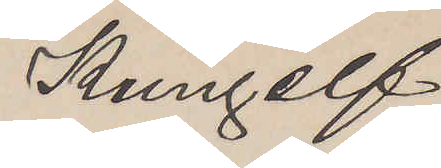Kungelf
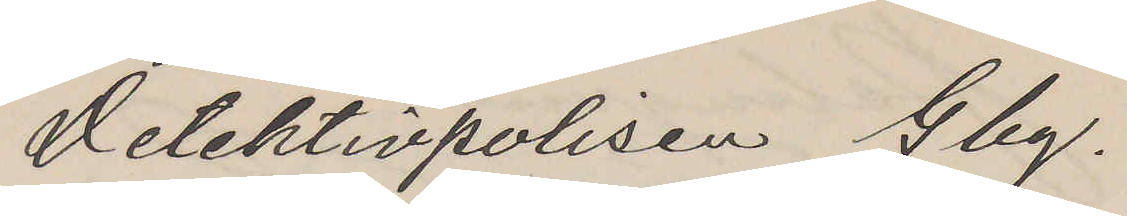Detektivpolisen Gbg.
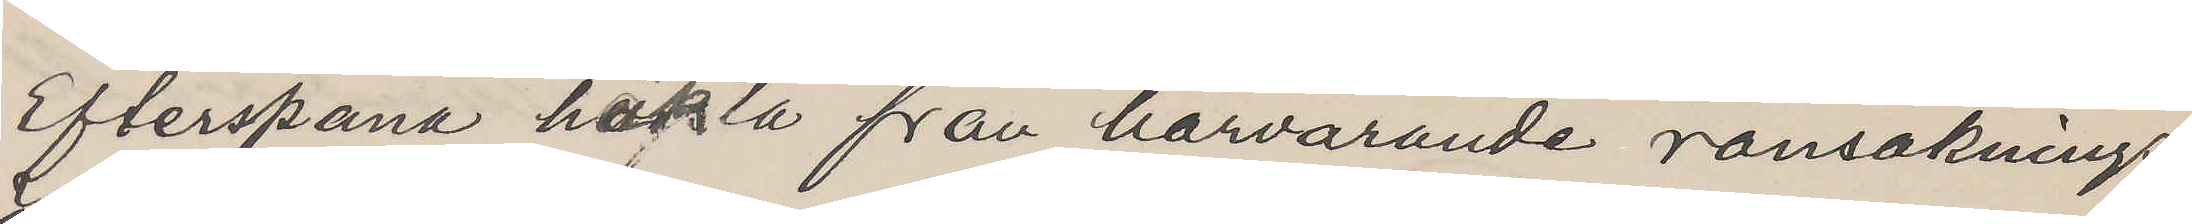Efterspana häkta från härvarande ransaknings¬
